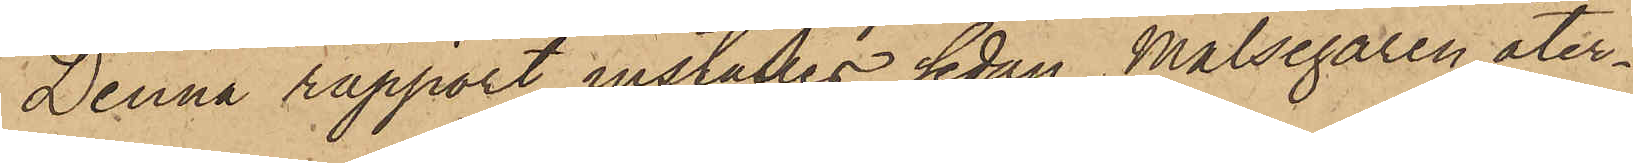Denna rapport inställes sedan Målsegaren åter¬
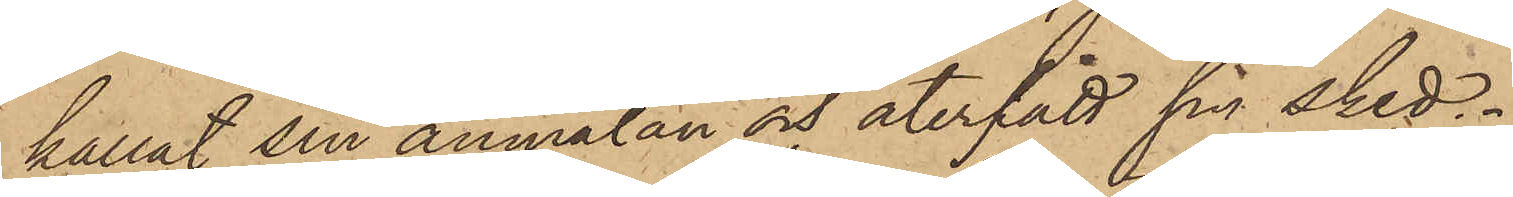kallat sin anmälan och återfått sin sked.
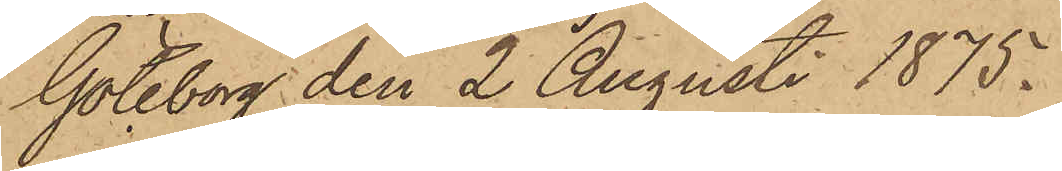Göteborg den 2 Augusti 1875.
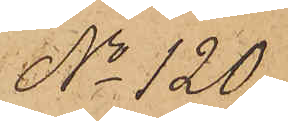No 120.
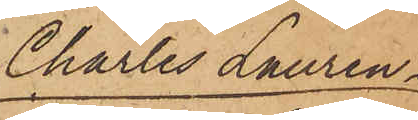Charles Lauren¬
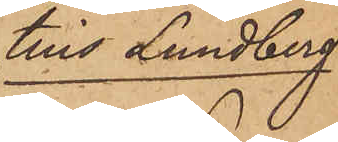tius Lundberg
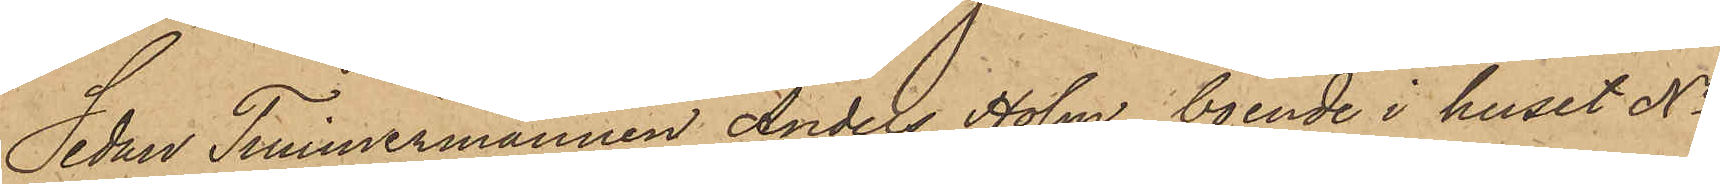Sedan Timmermannen Anders Holm, boende i huset No
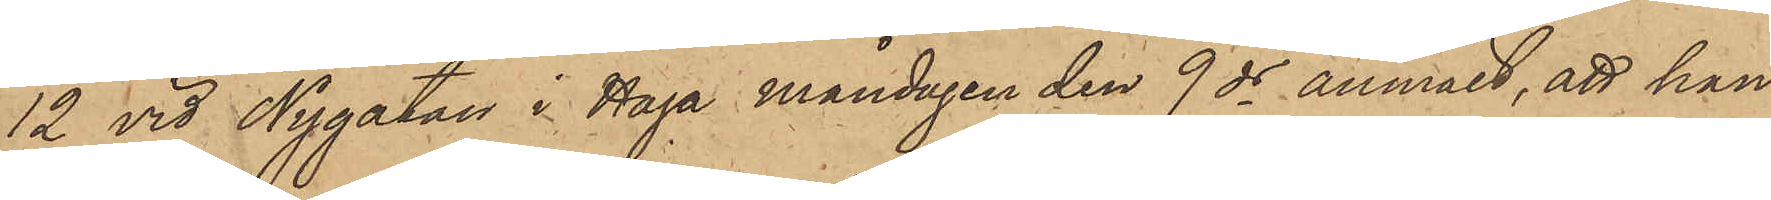12 vid Nygatan i Haga måndagen den 9 ds anmält, att han
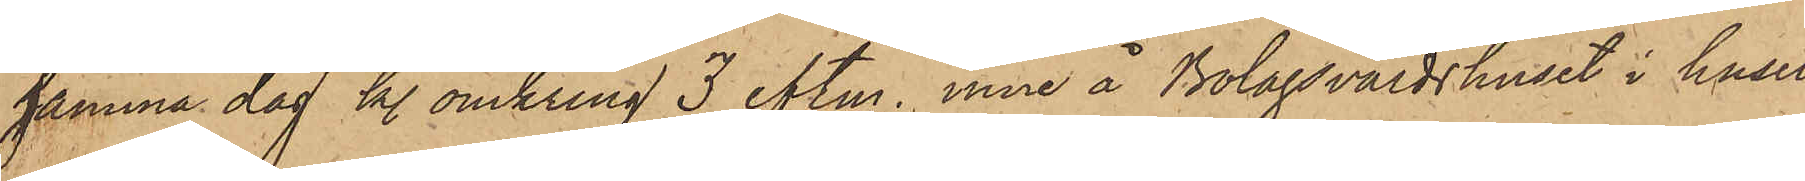samma dag kl. omkring 3 eftm. inne å Bolagsvärdshuset i huset
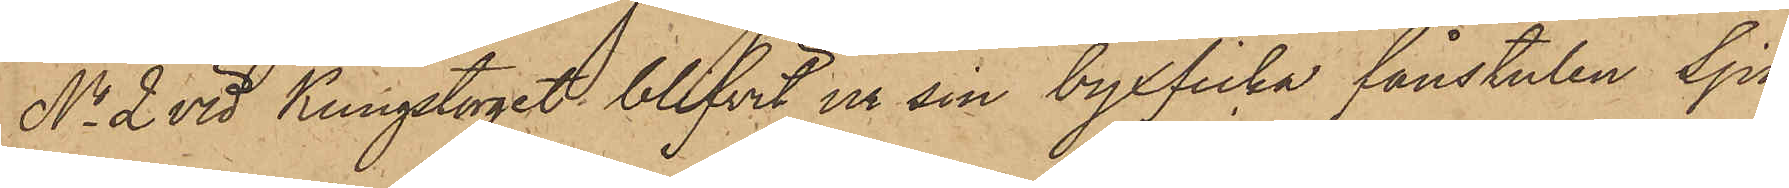No 2 vid Kungstorget blifvit ur sin byxficka fånstulen Sju
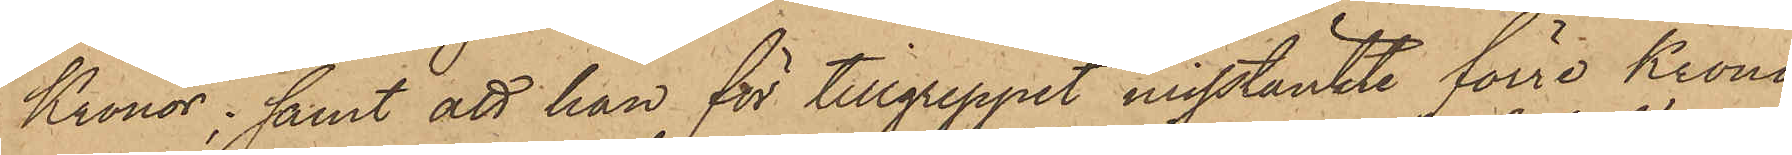Kronor; samt att han för tillgreppet misstänkte förre Krono¬
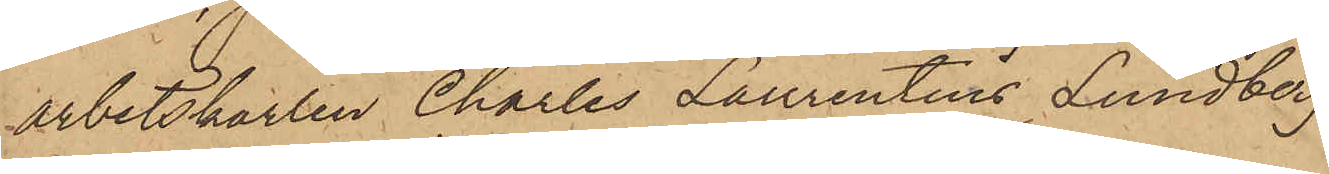arbetskarlen Charles Laurentius Lundberg
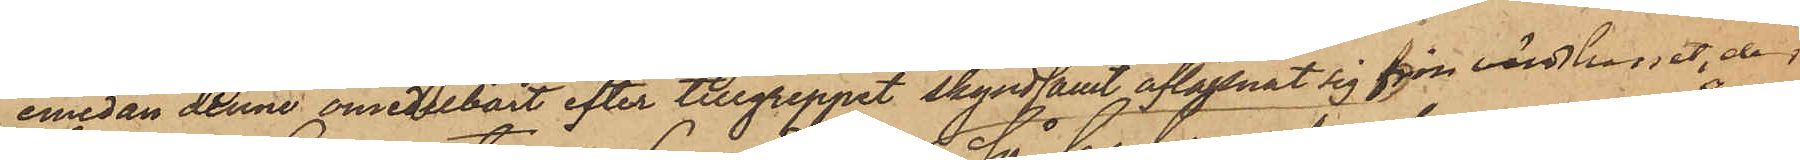emedan denne omedelbart efter tillgreppet skyndsamt aflägsnat sig från värdshuset, der
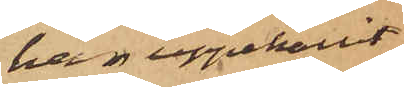han uppehållit
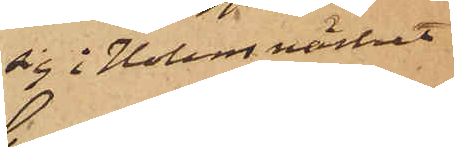sig i Holms närhet;
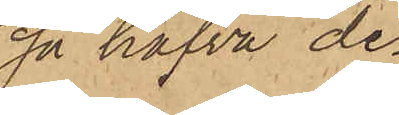så hafva de¬
